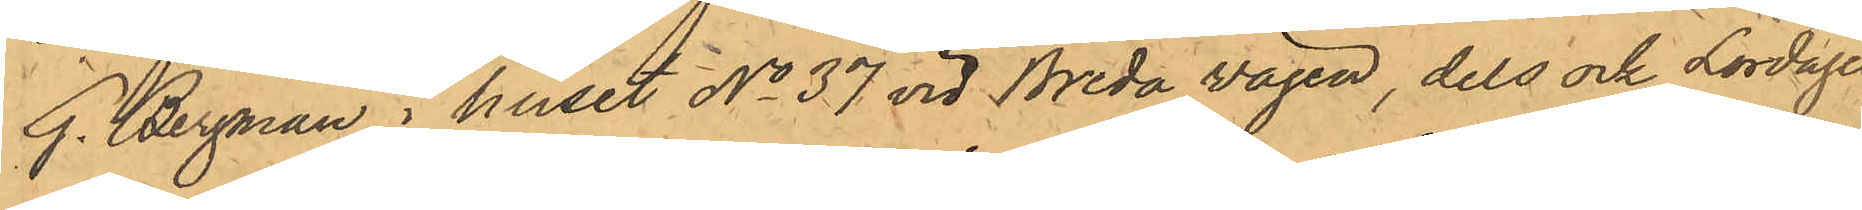G. Bergman i huset No 37 vid Breda vägen, dels ock Lördagen
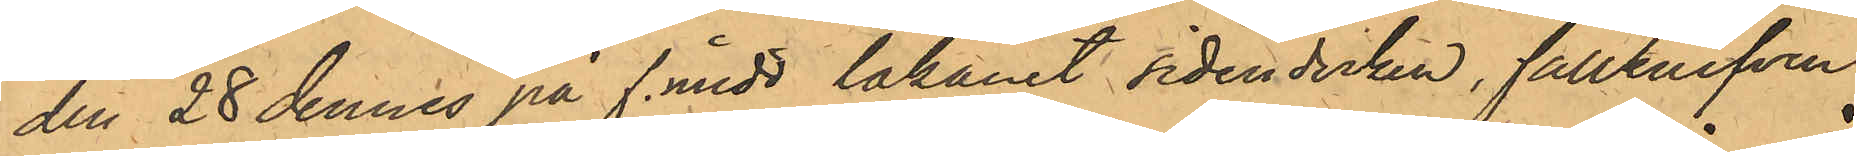den 28 dennes på f. midd lakanet sidenduken, fällknifven
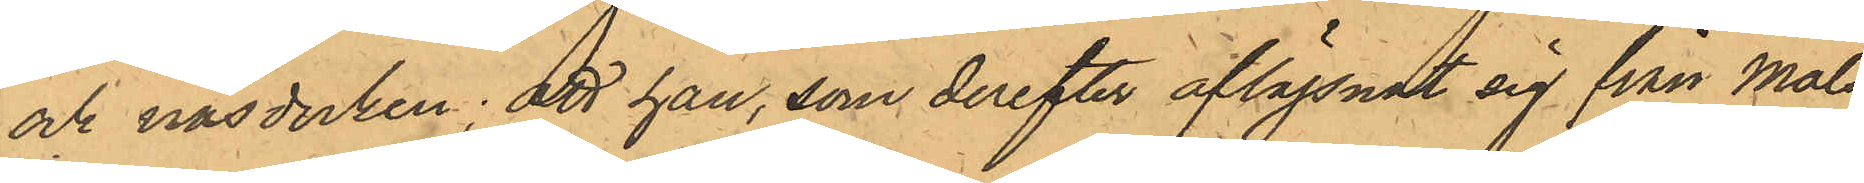och näsduken; att han, som derefter aflägsnat sig från Måls¬
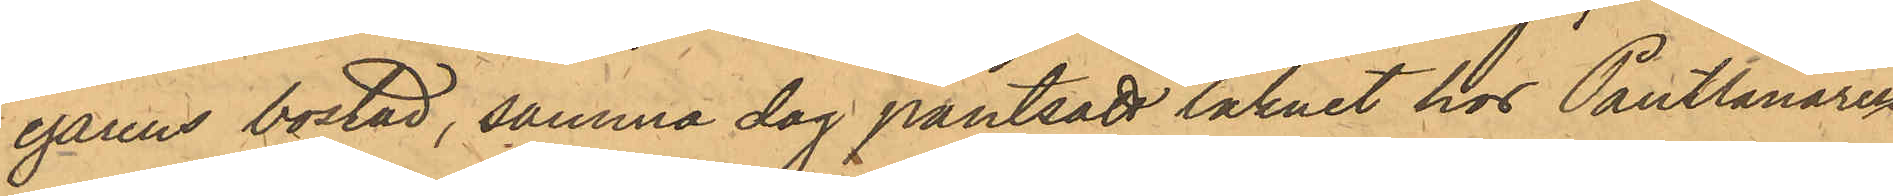egarens bostad, samma dag pantsatt laknet hos Pantlånaren
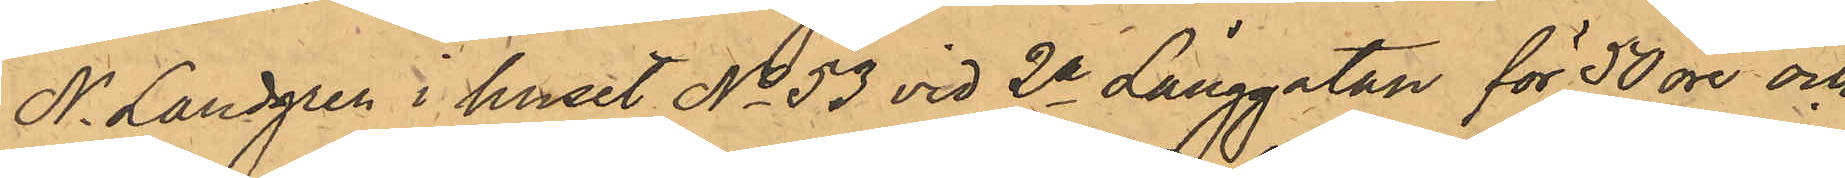N. Landgren i huset No 53 vid 2a Långgatan för 50 öre och
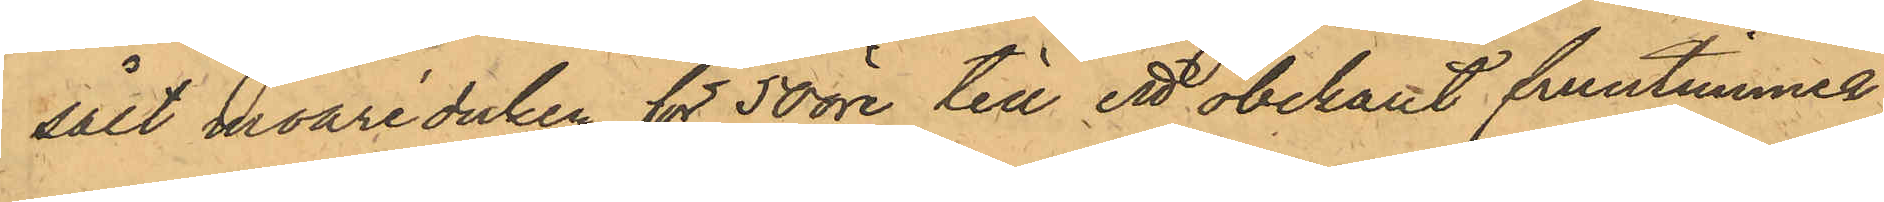sålt moaréduken för 50 öre till ett obekant fruntimmer
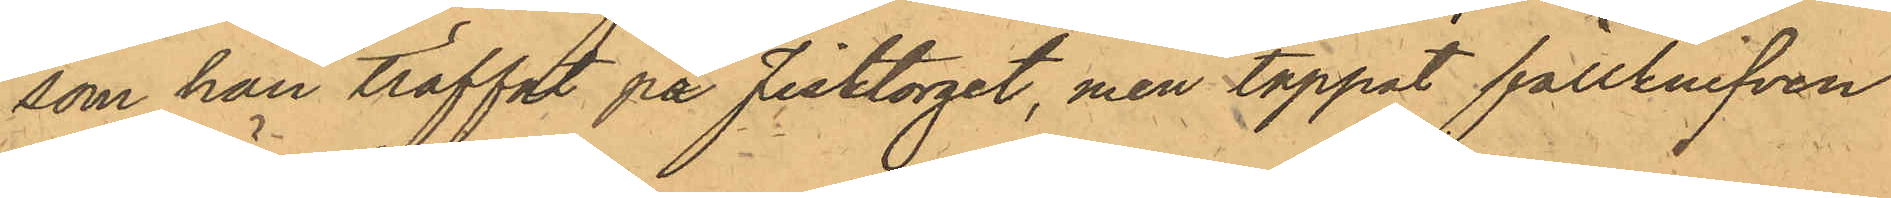som han träffat på Fisktorget, men tappat fällknifven
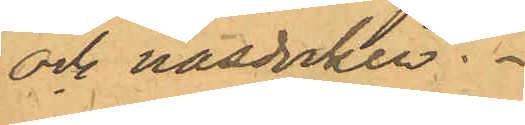och näsduken.
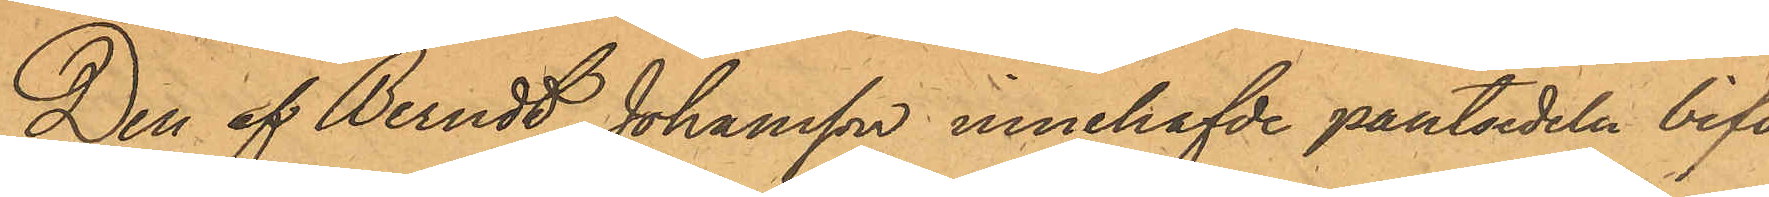Den af Berndt Johansson innehafde pantsedeln bifo¬
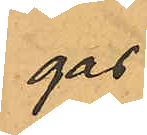gas.
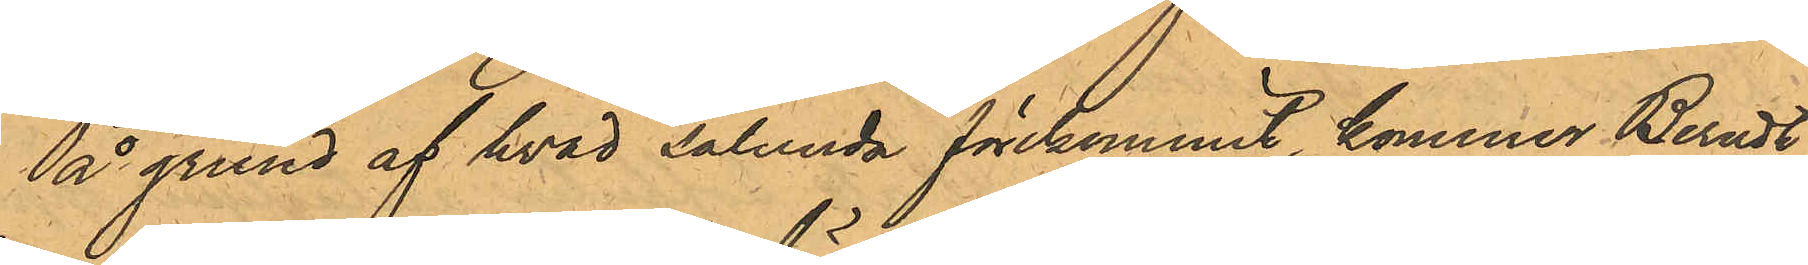På grund af hvad sålunda förekommit, kommer Berndt
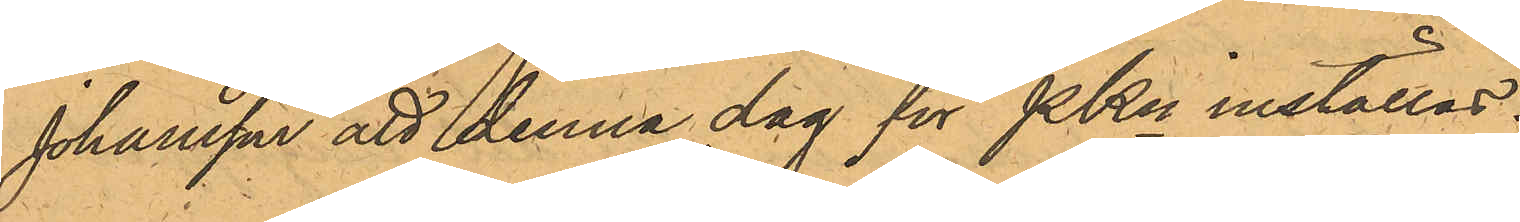Johansson att denna dag för PKn inställas.
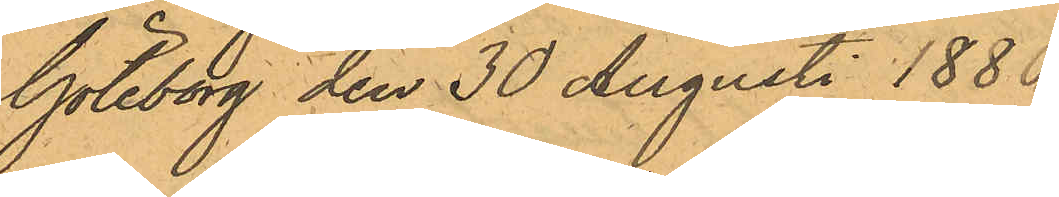Göteborg den 30 Augusti 1880.
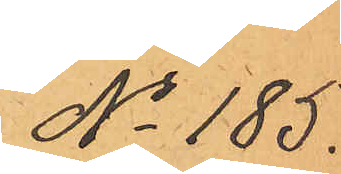No 185.
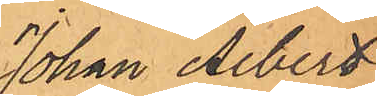Johan Albert
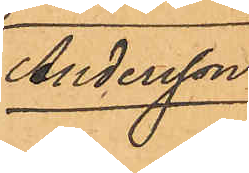Andersson.
